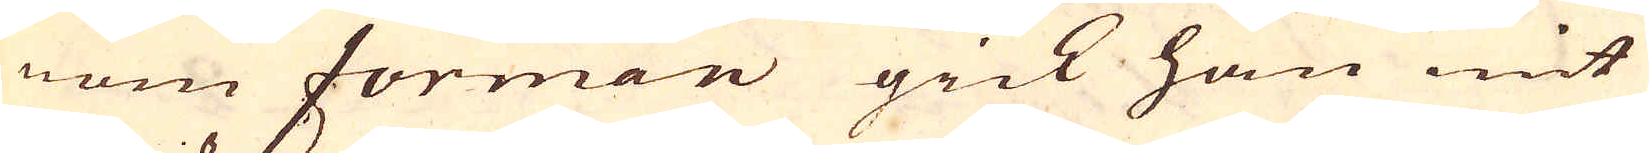nom forman gick han mit
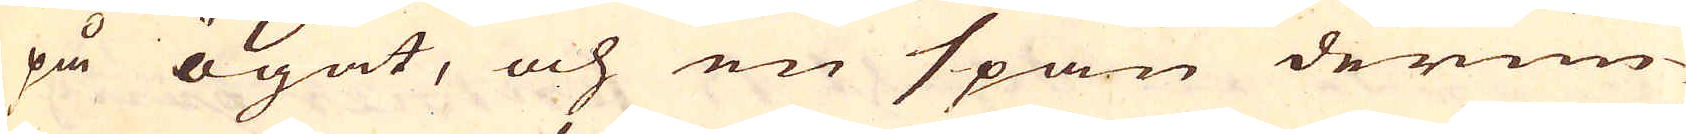på ögat, och en span derun-
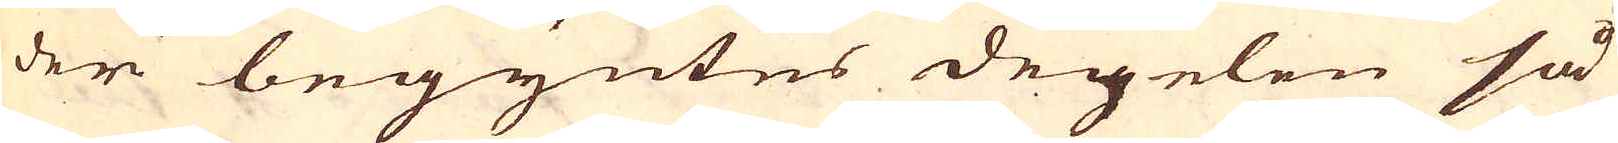der begyntes degelen så
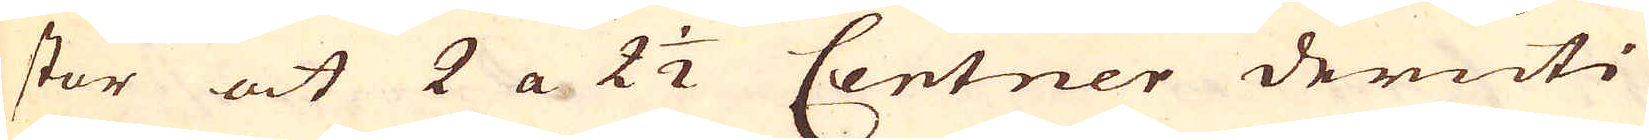stor at 2 a 2 1/2 Centner deruti
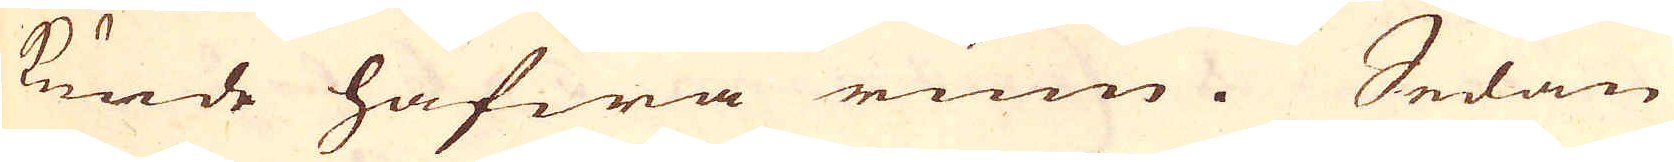kunde hafwa rum. Sedan
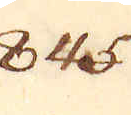845.
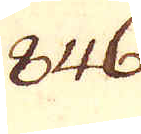846.
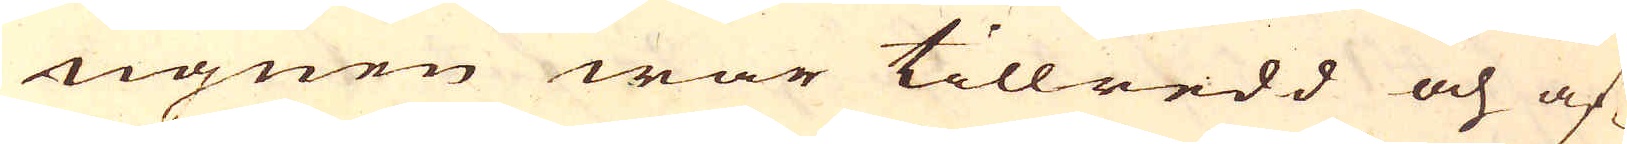ugnen war tillredd och af-
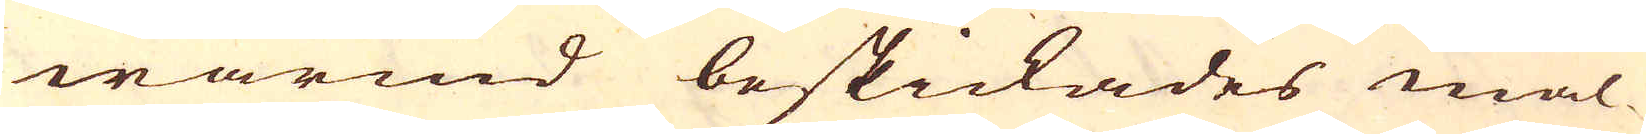wärmd beskickades mal-
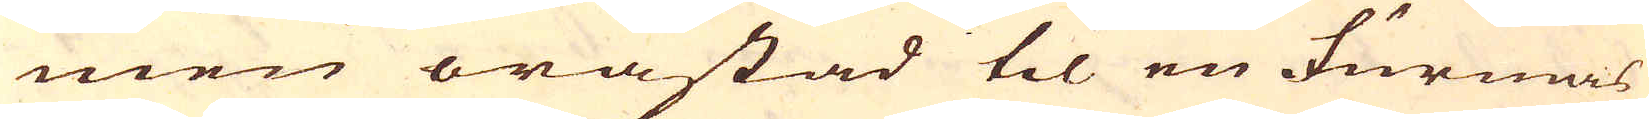men oråstad til en Furmas
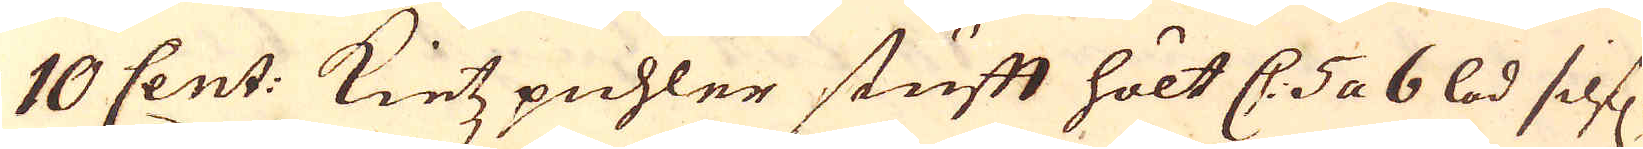10 Cent: Kietzpuhler stufft hölt C. 5 a 6 lod silf.
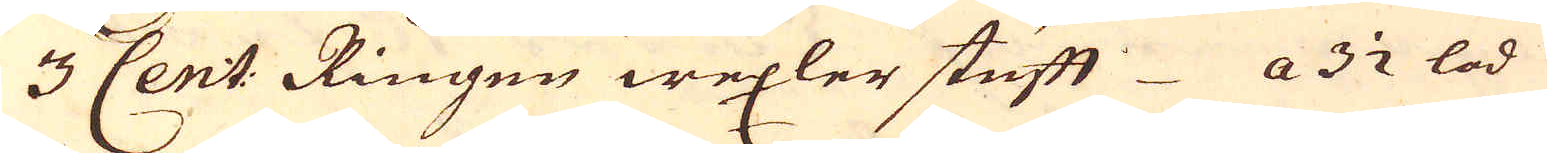3 Cent: Ringen wexler stufft a 3 1/2 lod
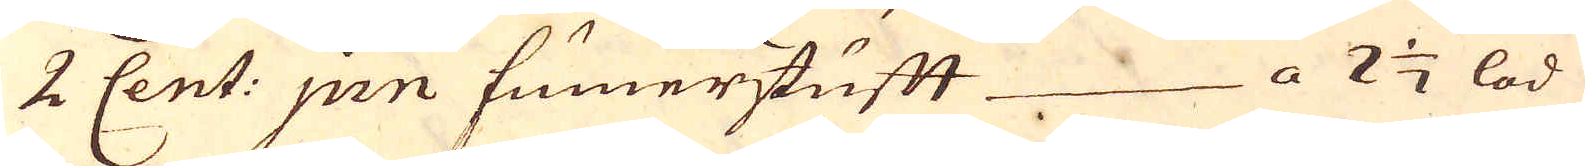2 Cent: Jnn sumerstufft a 2 1/2 lod
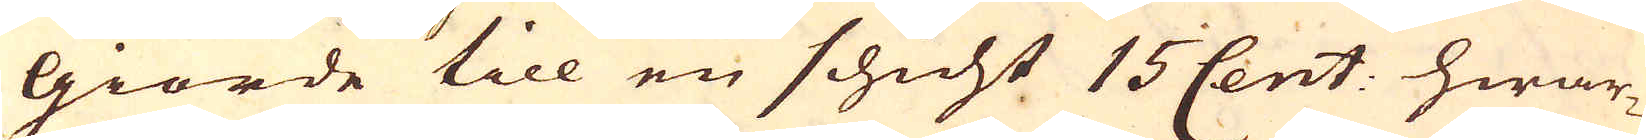giorde till en schicht 15 Cent: hwar-
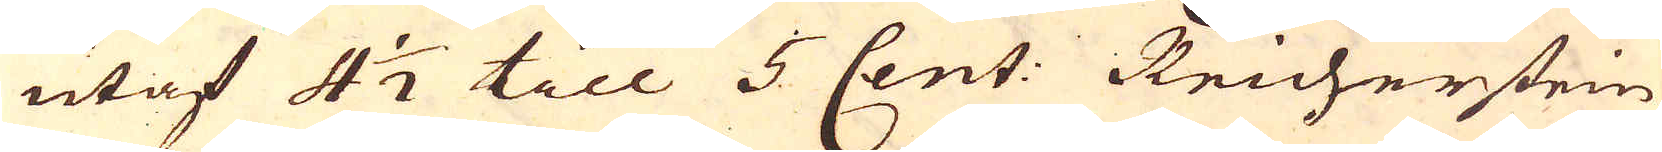utaf 4 1/2 till 5 Cent: Reicherstein
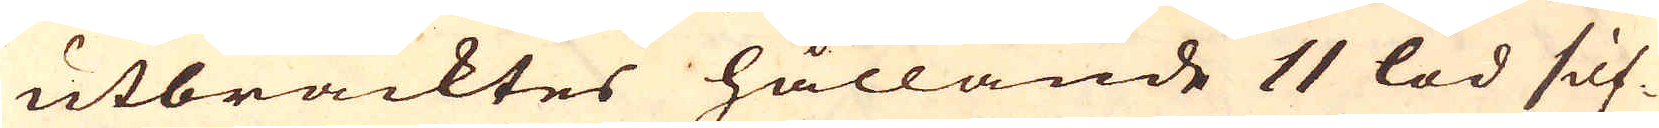utbracktes hållande 11 lod silf-
